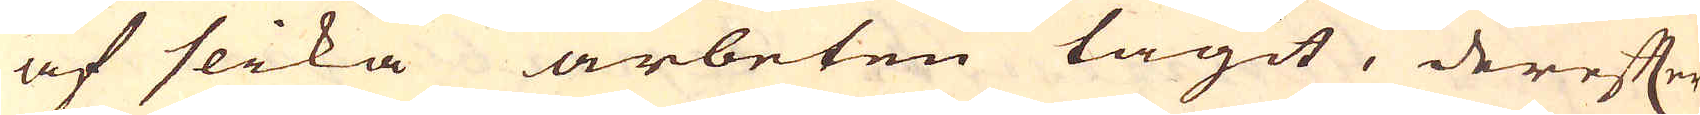af slika arbeten tagit, derefter
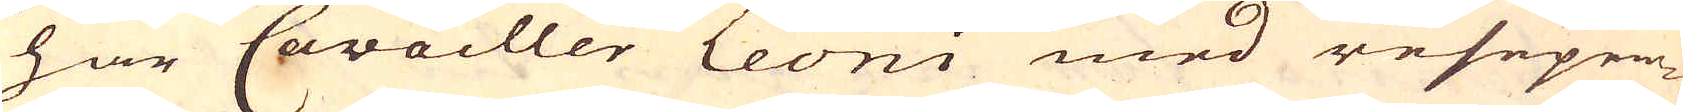har Cavocller Leoni med resepen-
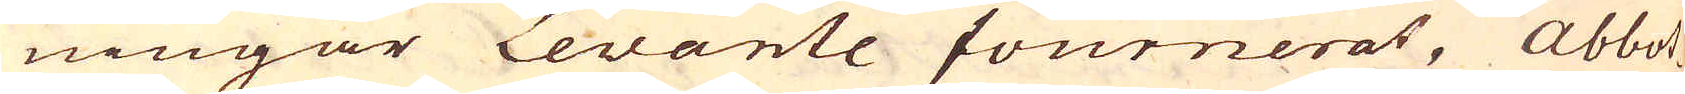ningar Levante fournerat, Abbot-
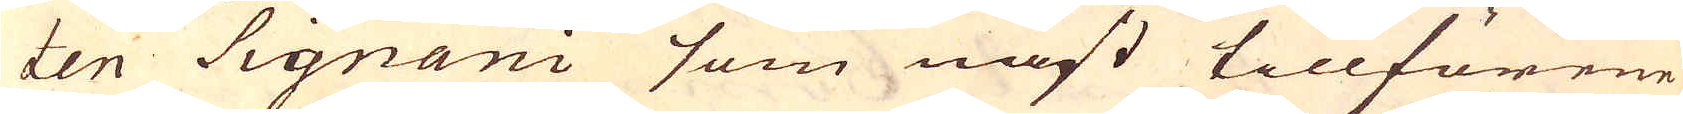ten Signani som näst tillförene
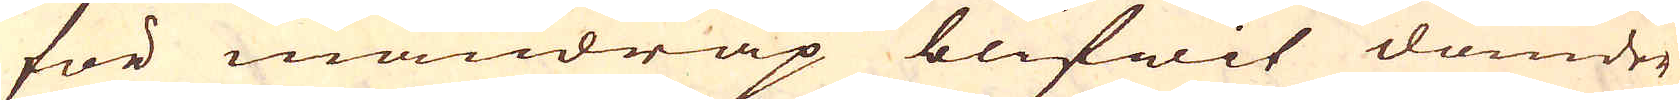för mandråp blifwit dömder
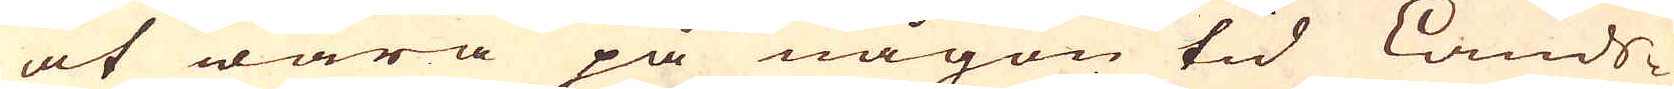at wara på någon tid Lands-
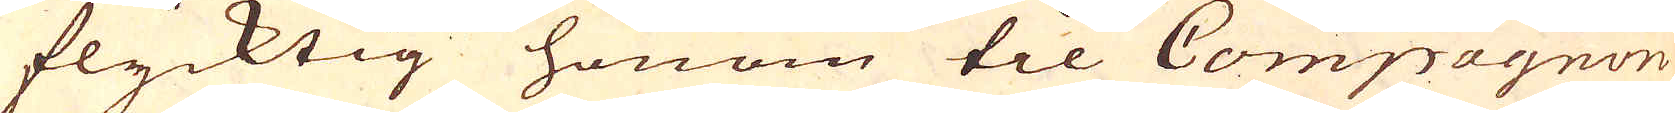flycktig honom til Compagnon
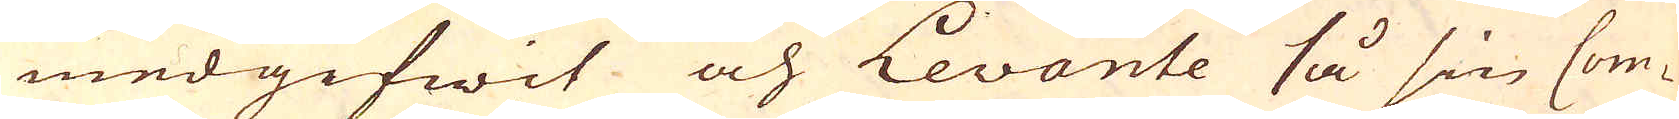medgifwit och Levante så sin Com-
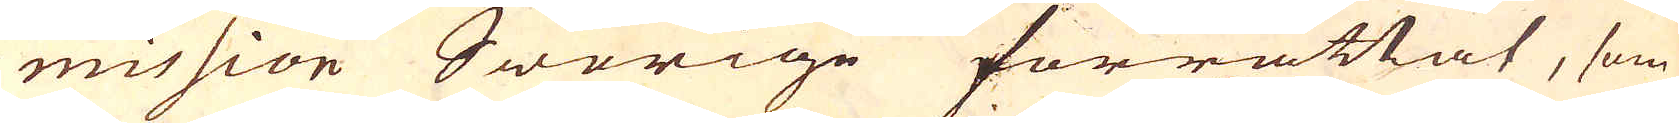mission Swerige förrättat, som
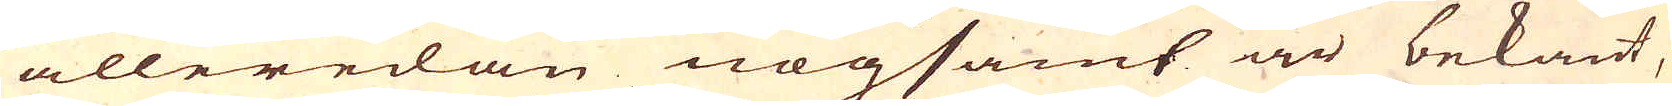alleredan nogsamt är bekant,
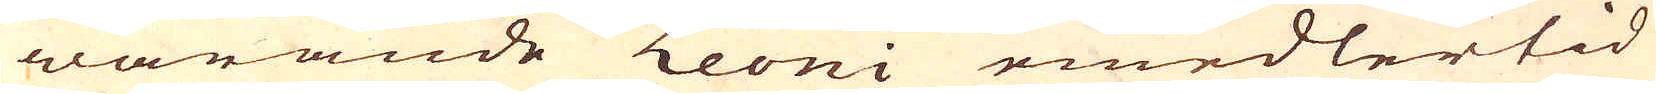warande Leoni emedlertid
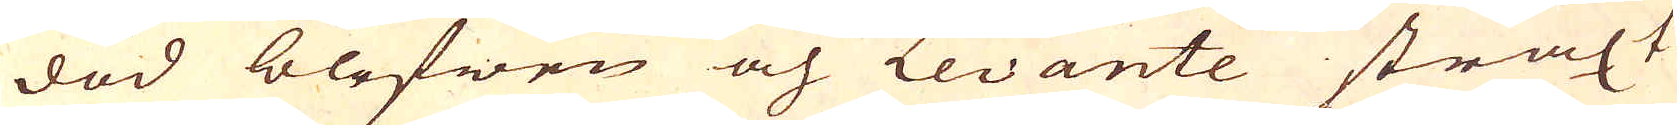död blefwen och Levante straxt
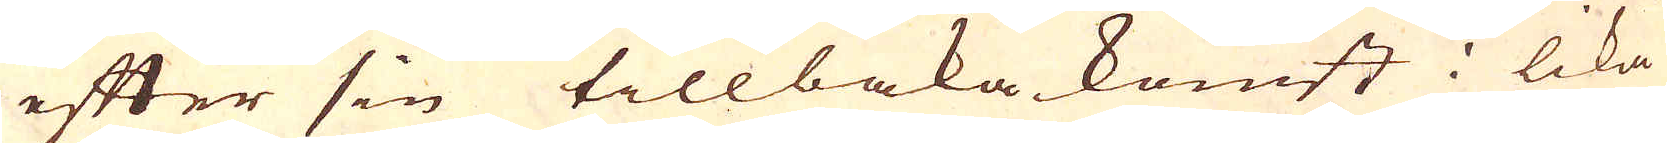efter sin tillbaka komst i lika
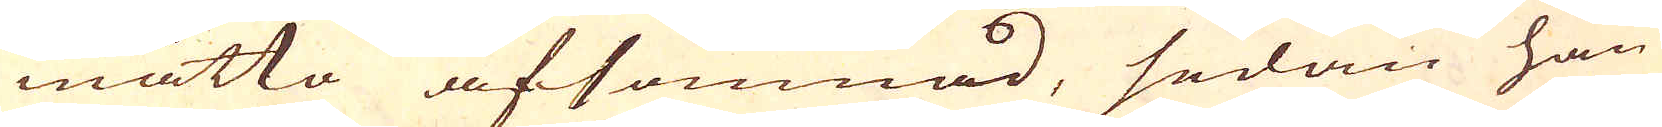måtto afsomnad, sedan han
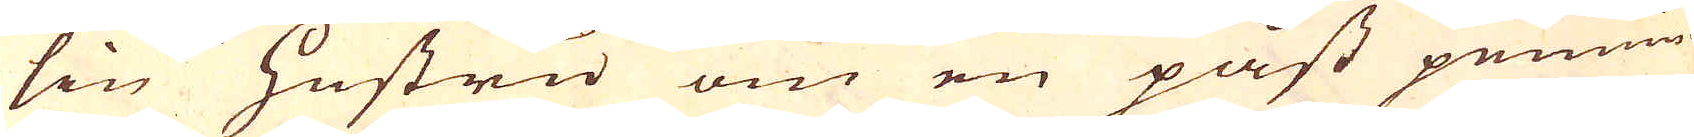sin Hustru om en påst pennin-
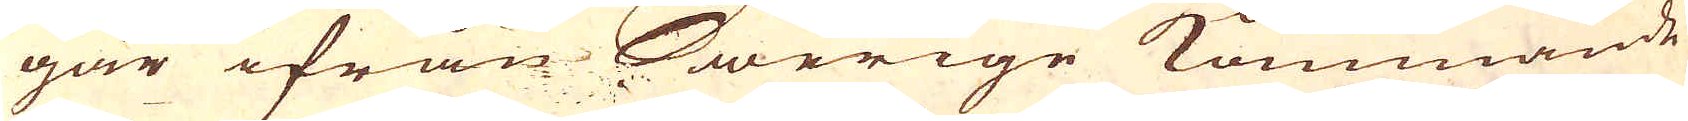gar ifrån Swerige kommande
